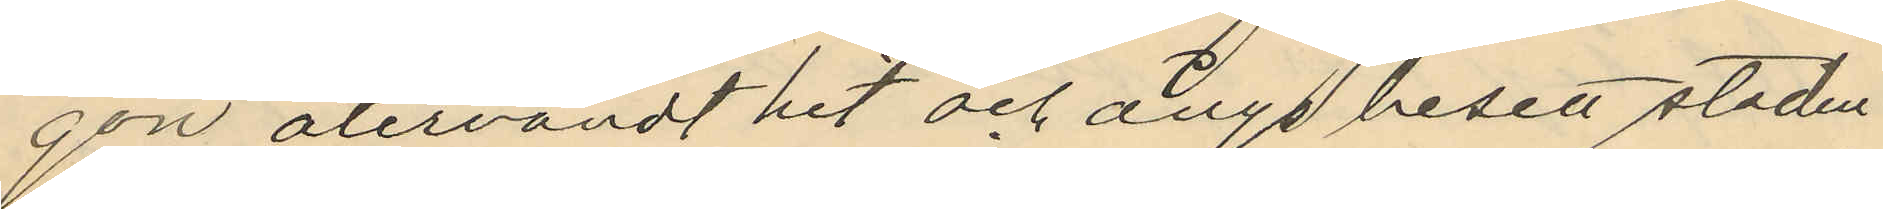gon återvändt hit och ånyo besett staden
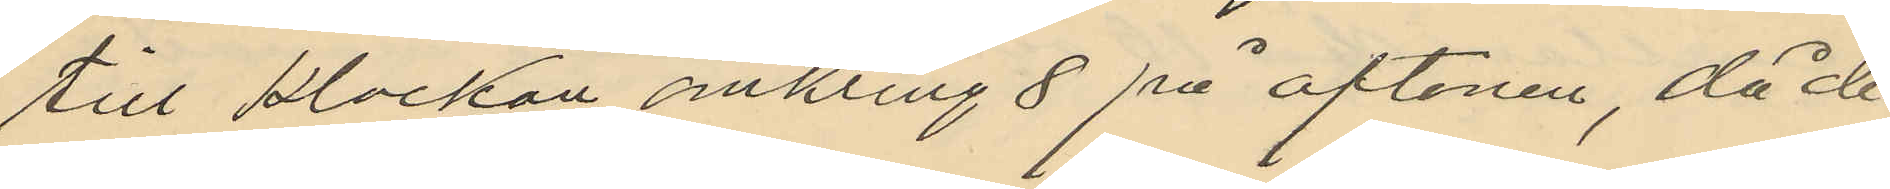till klockan omkring 8 på aftonen, då de
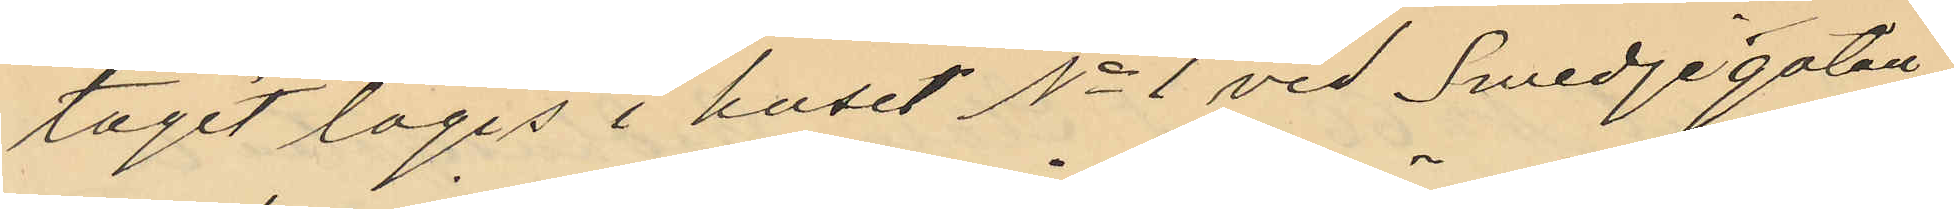tagit logis i huset No 1 vid Smedjegatan
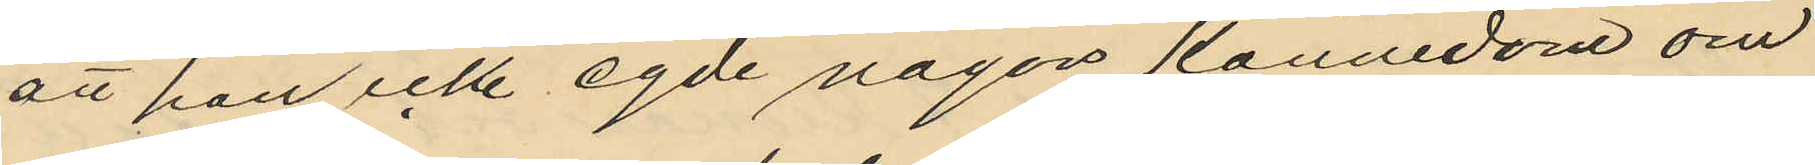att han icke egde någon kännedom om
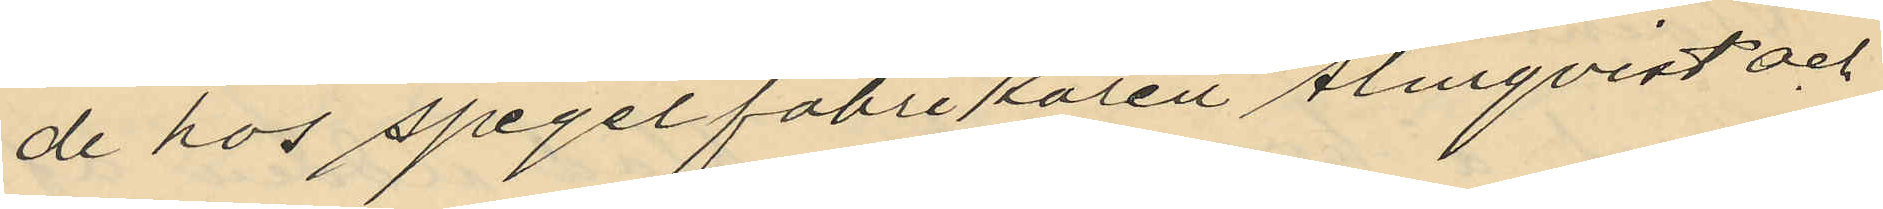de hos spegelfabrikören Almqvist och
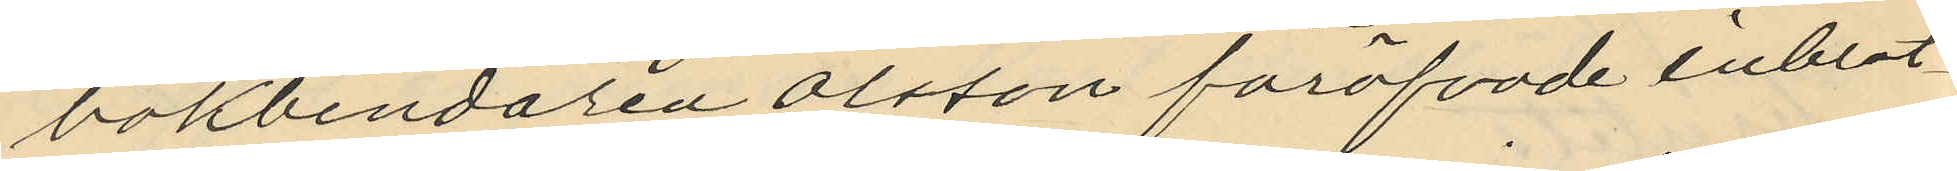bokbindaren Olsson föröfvade inbrot¬
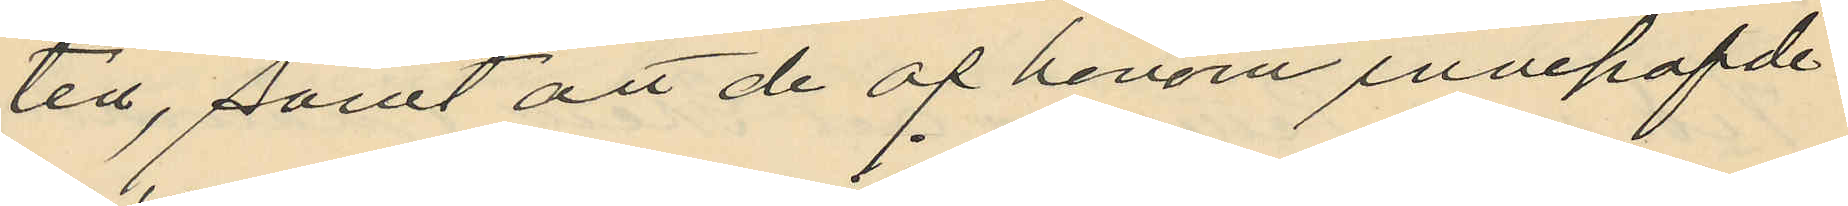ten, samt att de af honom innehafde
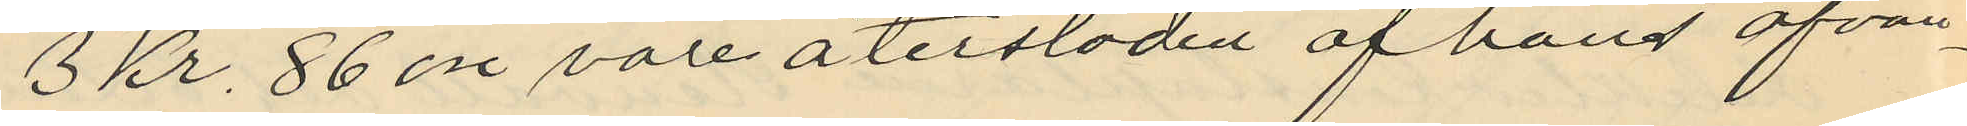3 Kr. 86 öre vore återstoden af hans ofvan¬
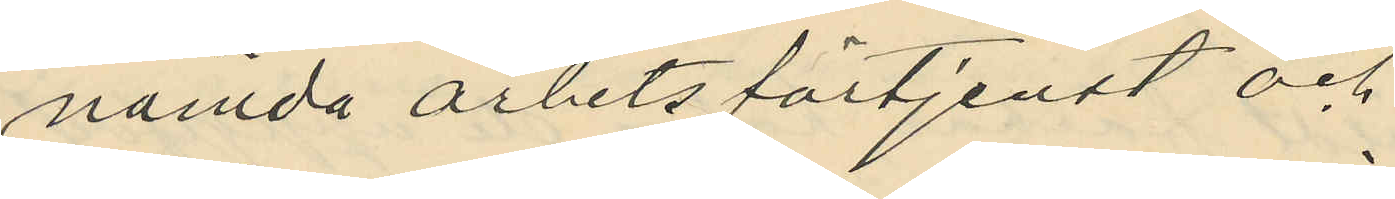nämda arbetsförtjenst och
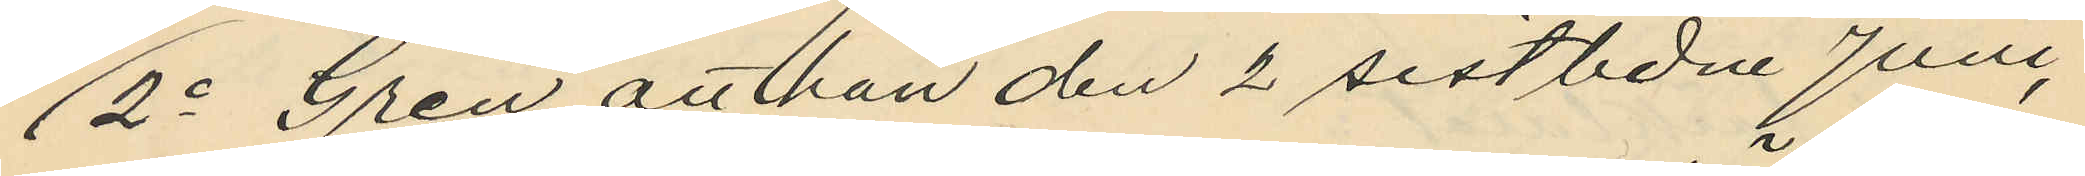2o Gren att han den 2 sistlidne Juni,
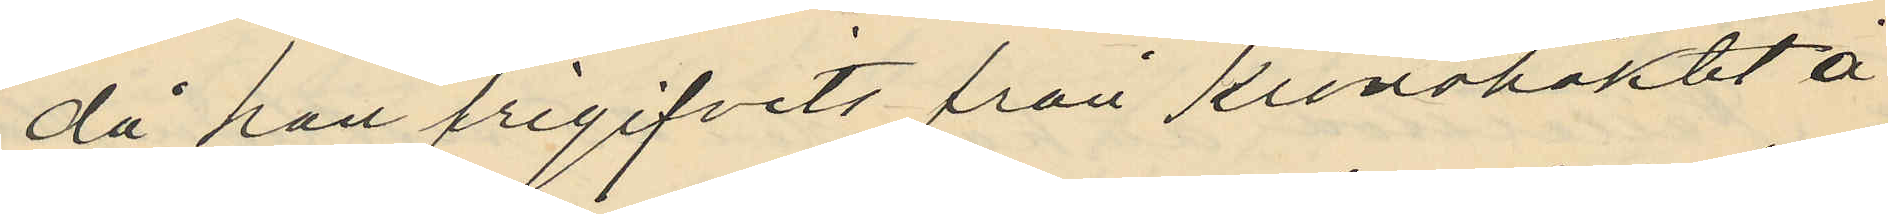då han frigifvits från Kronohäktet å
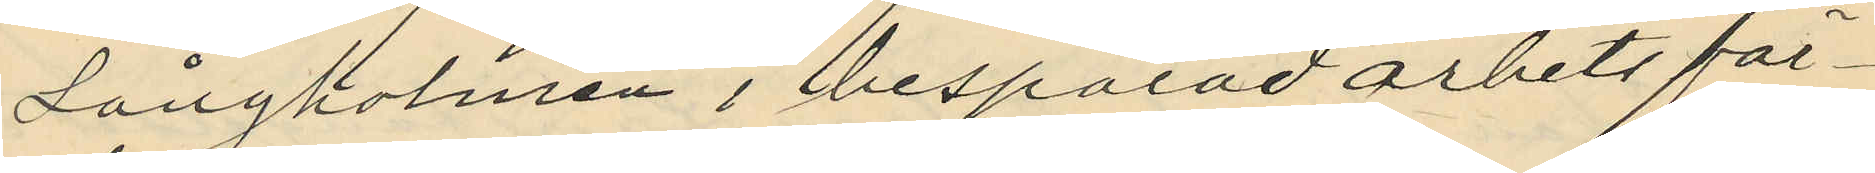Långholmen i besparad arbetsför¬
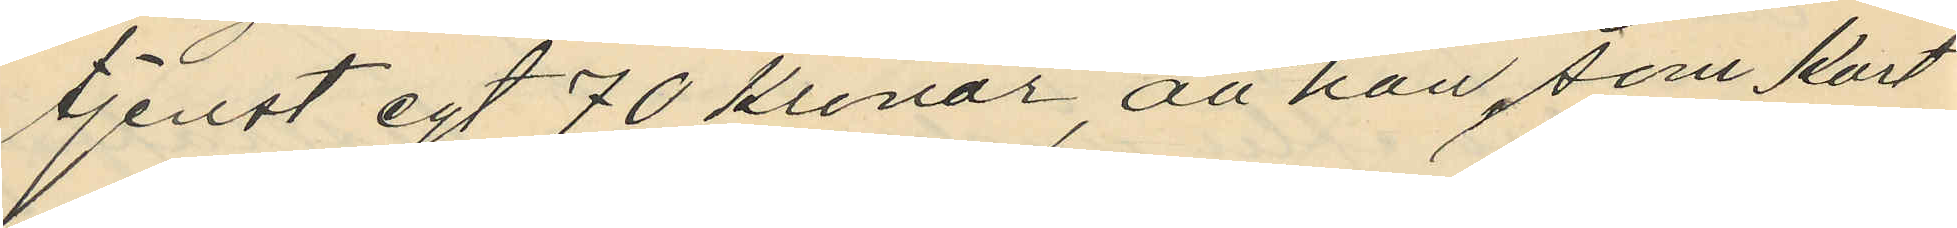tjenst egt 70 kronor, att han, som kort
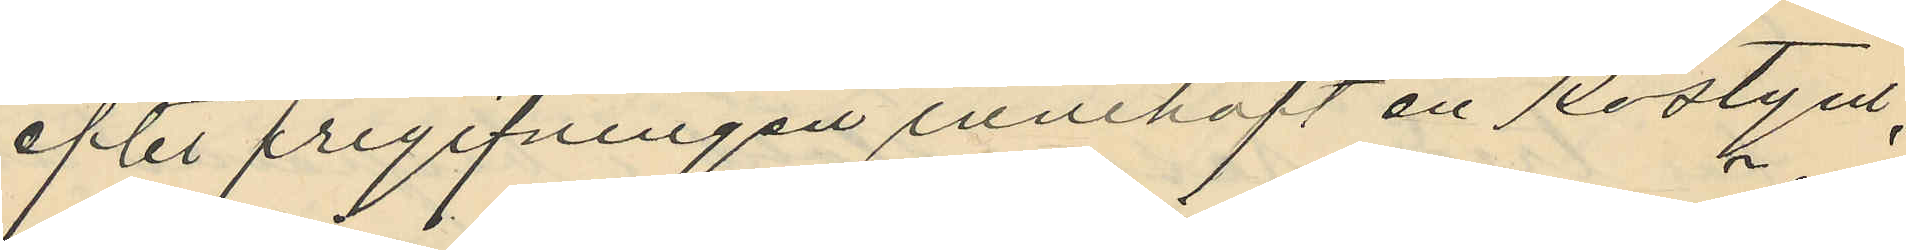efter frigifningen innehaft en kostym,
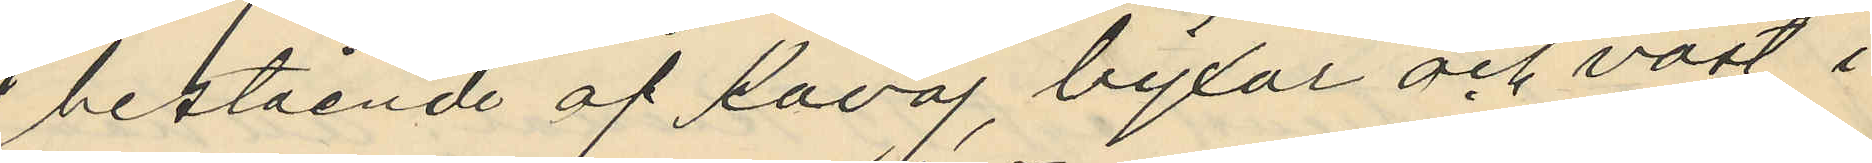bestående af kavaj, byxor och väst i
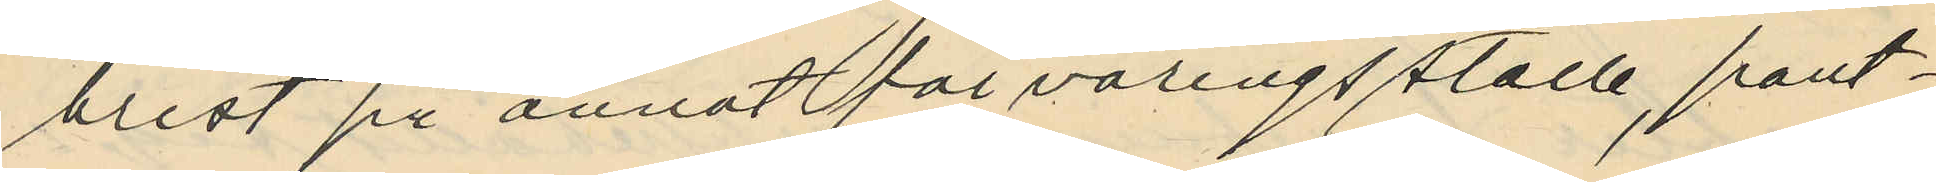brist på annat förvaringsställe, pant¬
